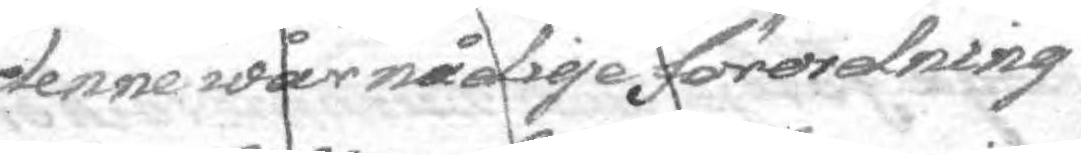denne wår någide förordning
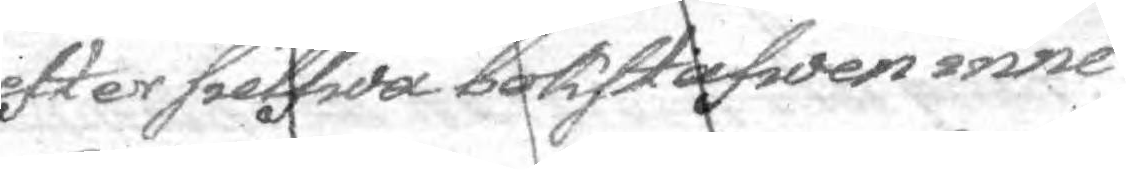efter sielfwa bokstafwen inne¬
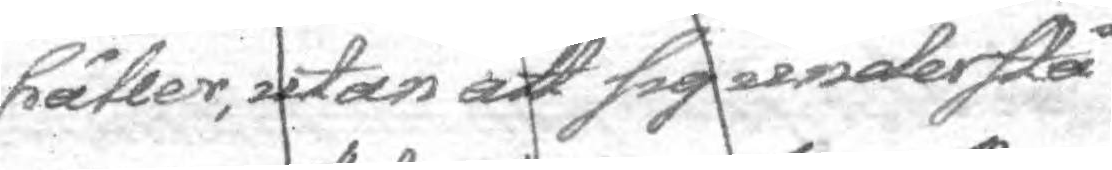håller, utan att sig understå
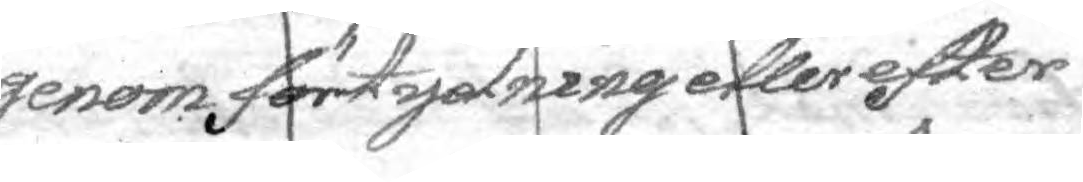genom förtydning eller efter
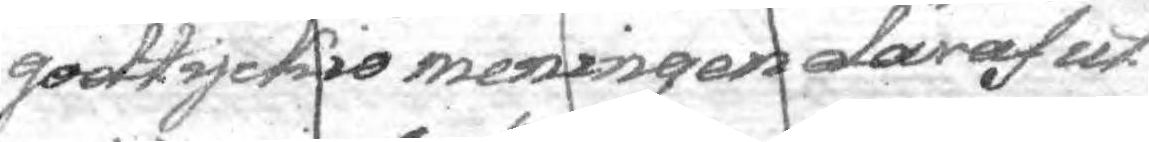godtyckio meningen däraf ut¬
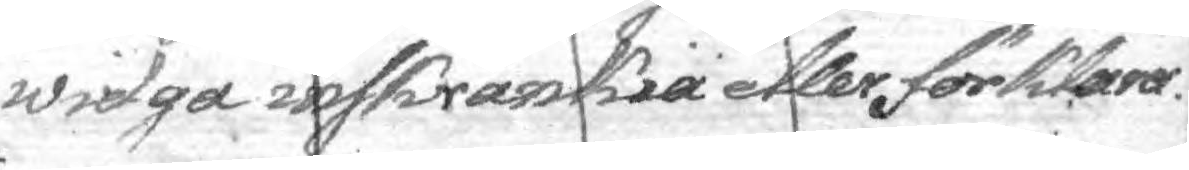widga inskränkia eller förklara.
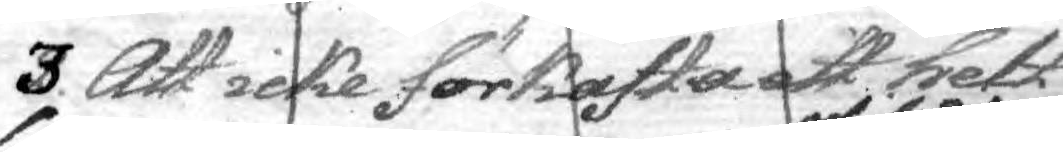3. Att icke förkasta ett helt
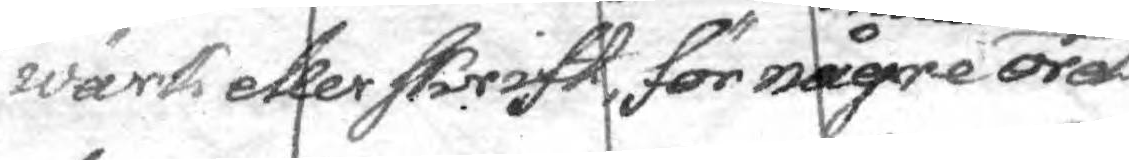wärk eller skrift, för någre otillåterlige ord
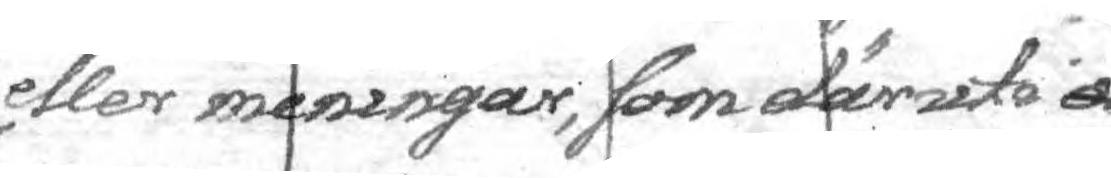eller meningar, som däruti a
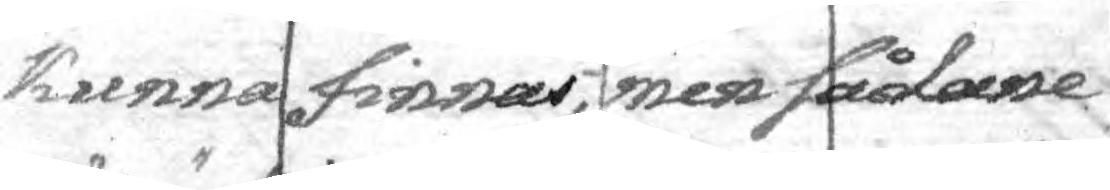kunna finnas, men sådane
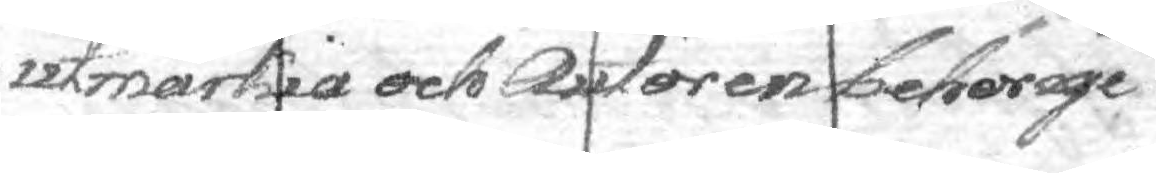utmärkia och Autoren behörige
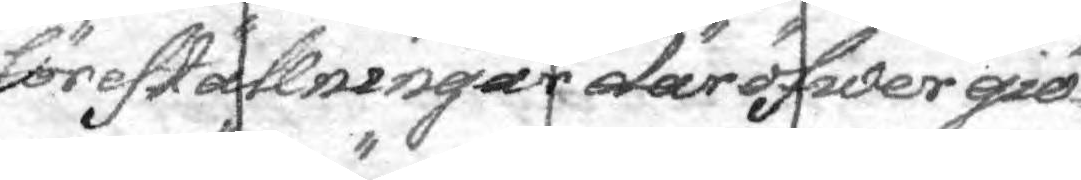föreställningar där öfwer giö¬
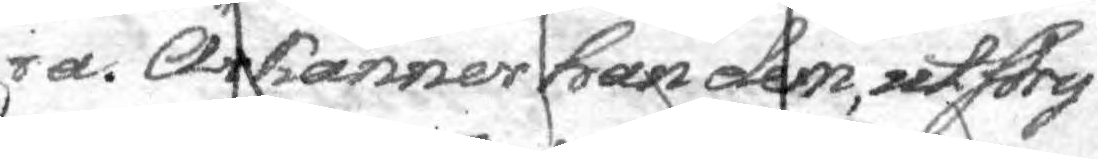ra. Ärkänner han dem, utstry¬
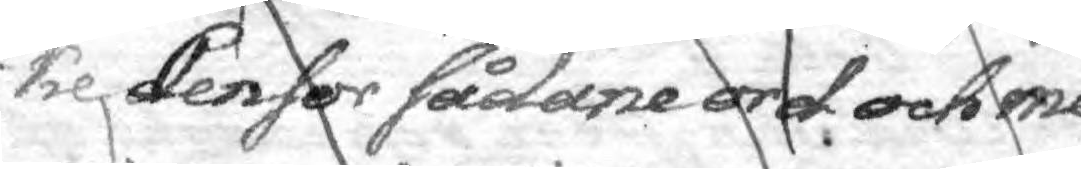ke denfor sådane ord och me¬
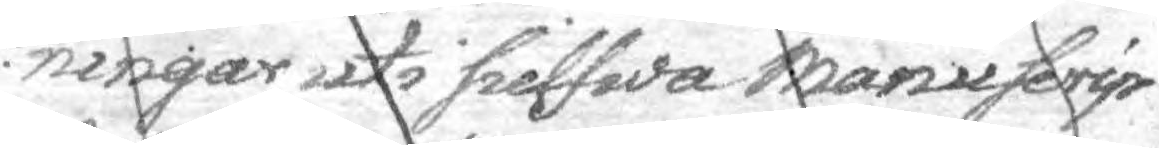ningar uti sielfwa manyscrip¬
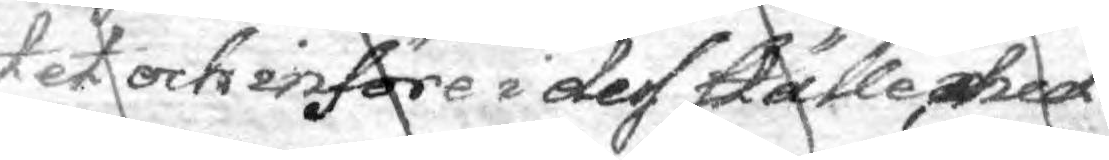tet och införe i dess ställe, helt
